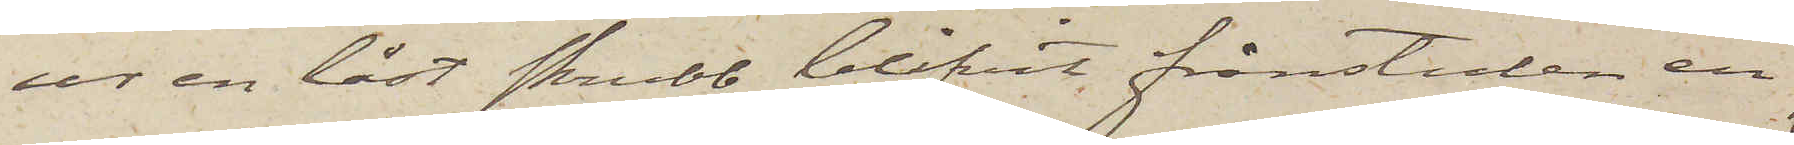ur en låst skrubb blifvit frånstulen en
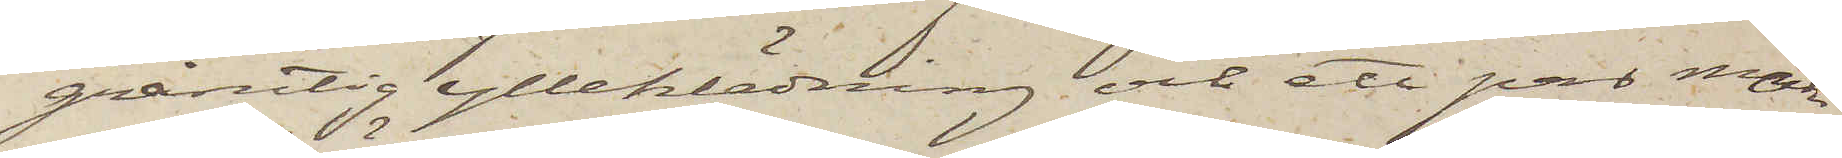grårutig ylleklädning och ett par mörk¬
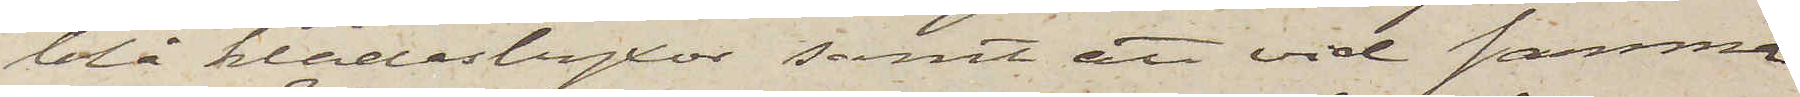blå klädesbyxor, samt att vid samma
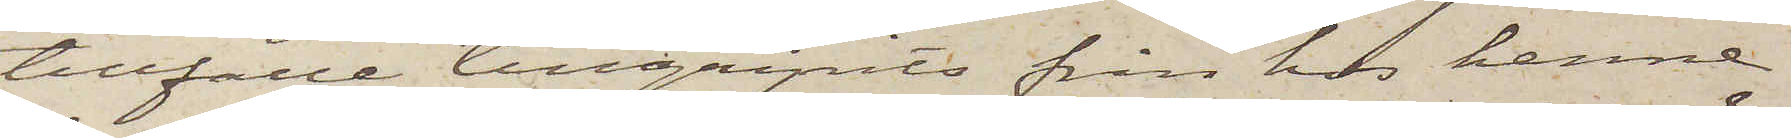tillfälle tillgripits från hos henne
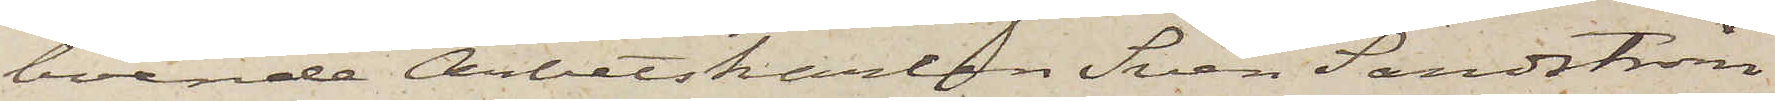boende Arbetskarlen Sven Sandström,
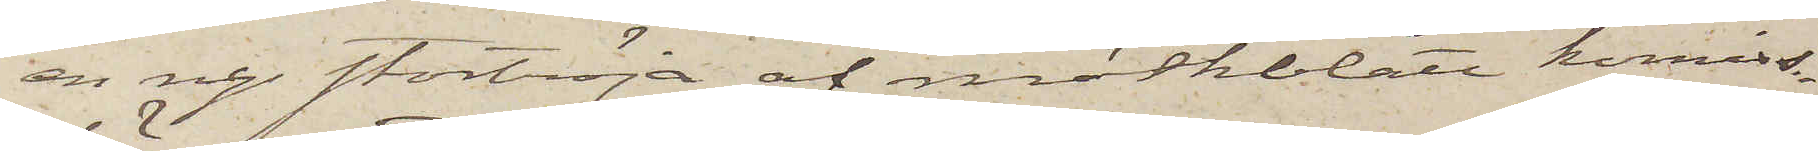en ny stortröja af mörkblått komiss¬
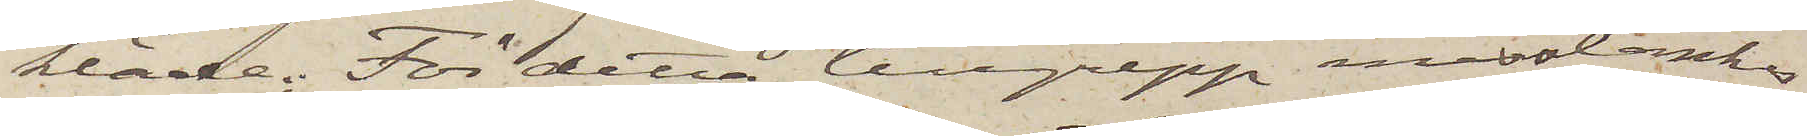kläde; För detta tillgrepp misstänkes
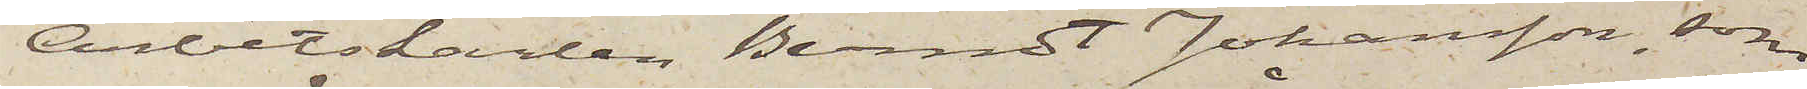Arbetskarlen Berndt Johansson, som
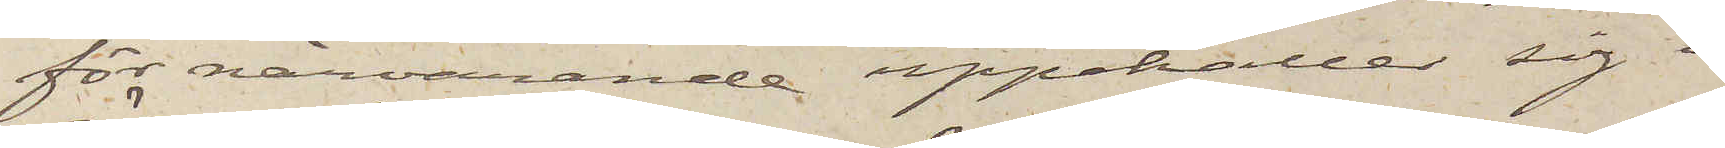för närvarande uppehåller sig i
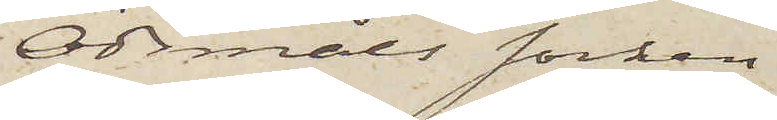Ödsmåls socken.
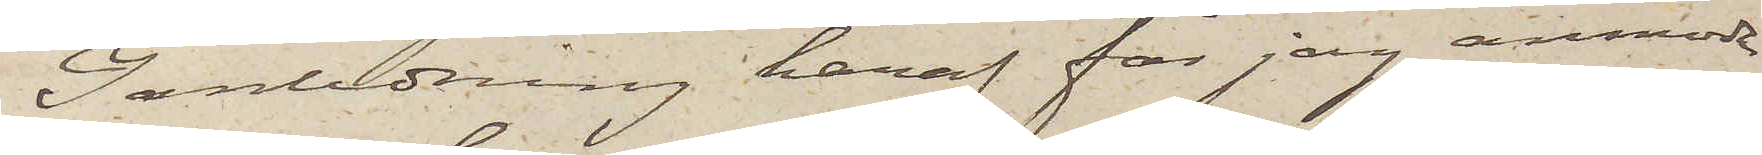I anledning häraf får jag anmoda
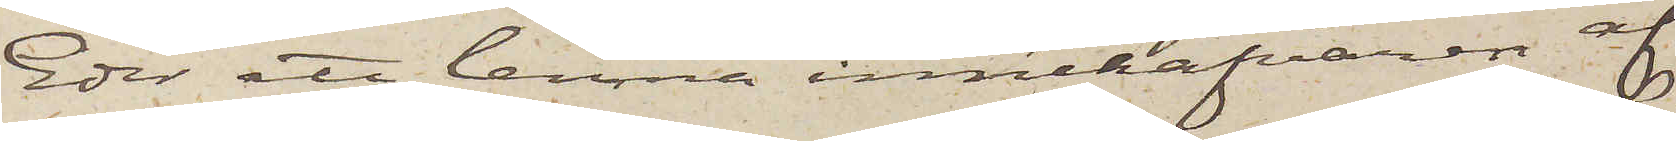Eder att lemna innehafvaren af
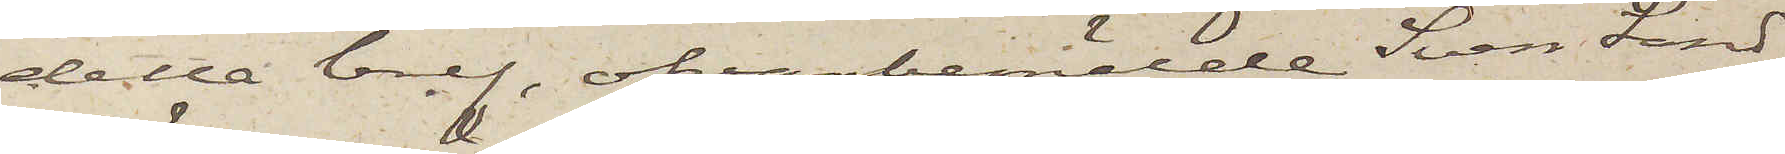detta bref, ofvanbemälde Sven Sand¬
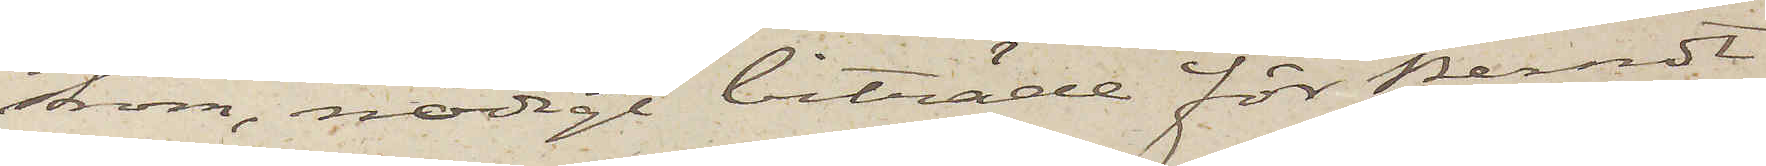ström, nödigt biträde för Berndt
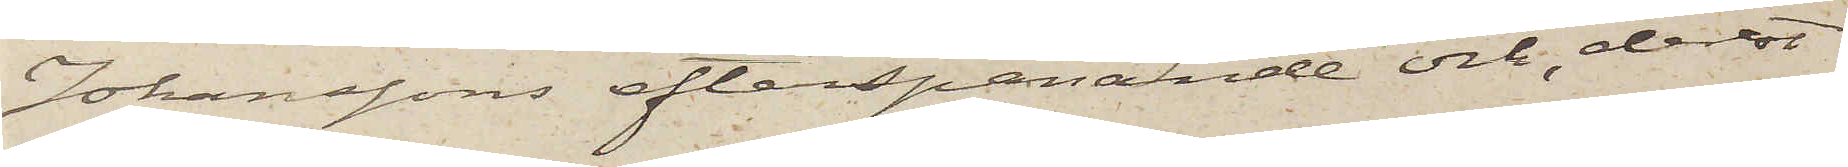Johanssons efterspanande och, derest
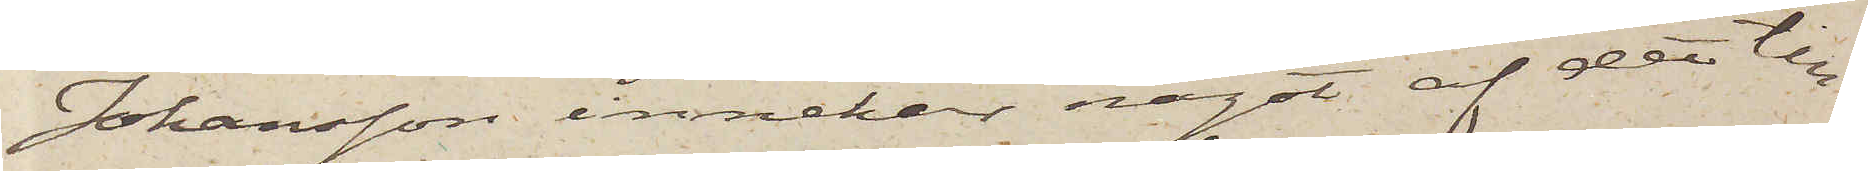Johansson innehar något af den till¬
